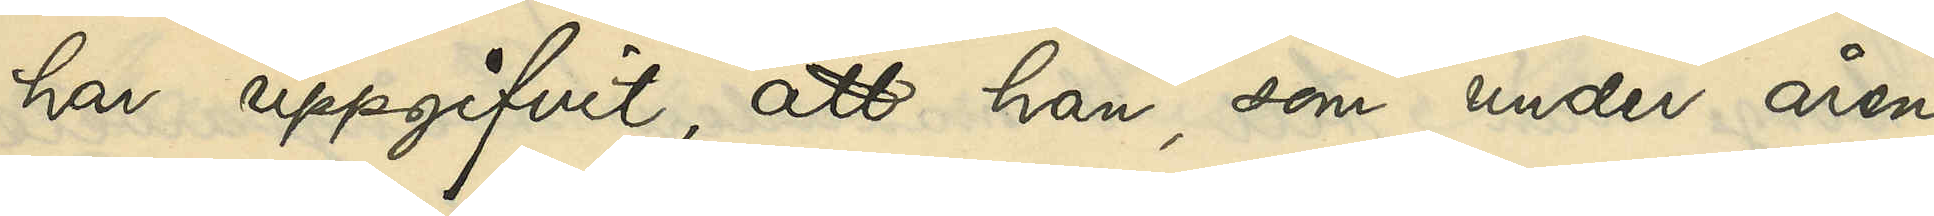har uppgifvit, att han, som under åren
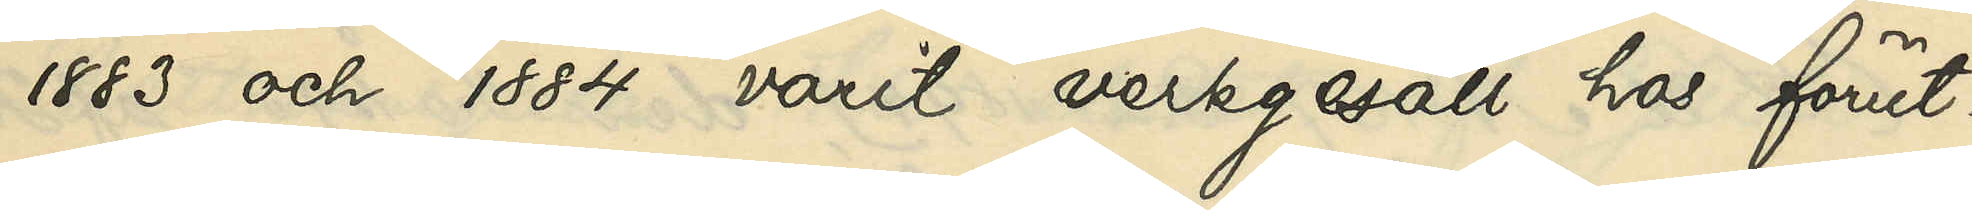1883 och 1884 varit verkgesäll hos förut¬
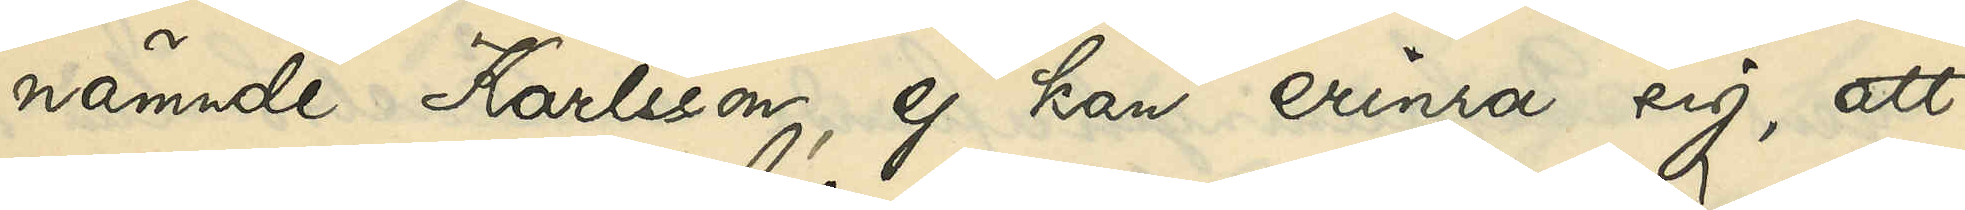nämnde Karlsson, ej kan erinra sig, att 
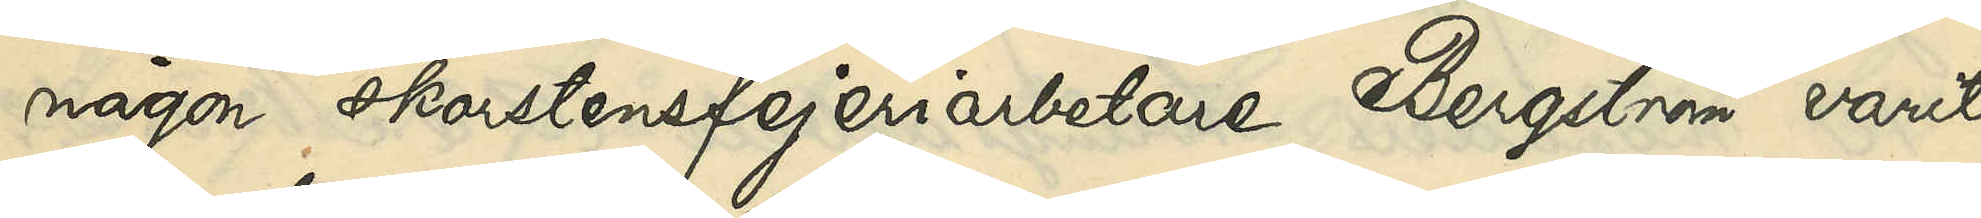någon skorstensfejeriarbetae Bergström varit
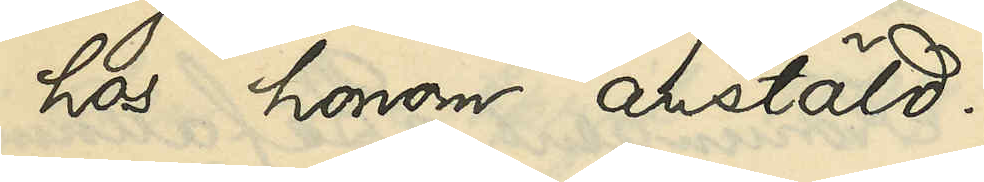hos honom anstäld.
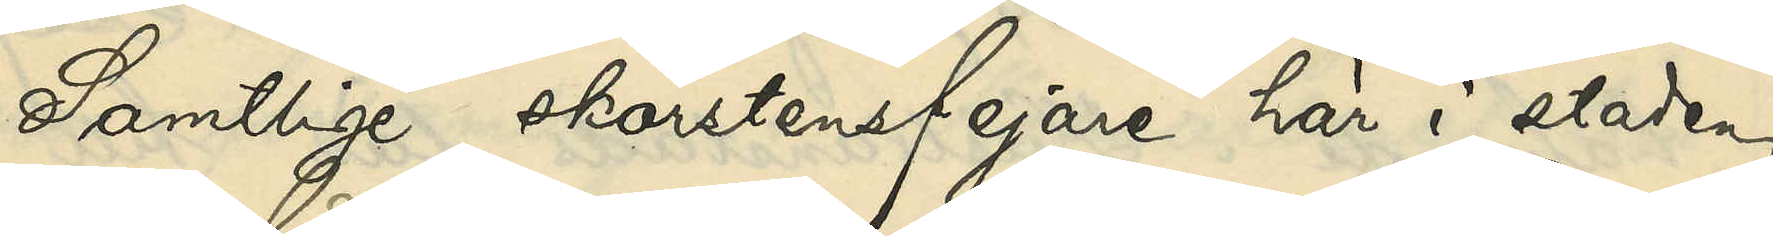Samtlige skorstensfejare här i staden
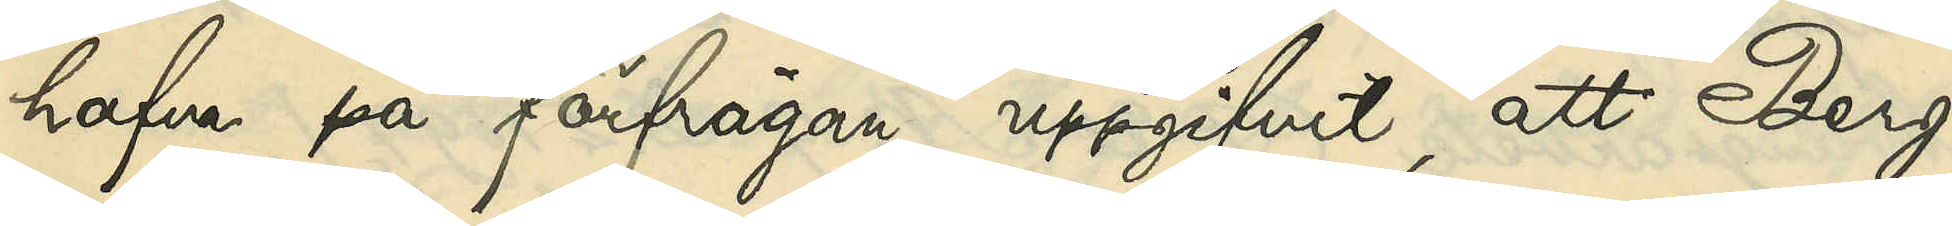hafva på förfrågan uppgifvit, att Berg¬
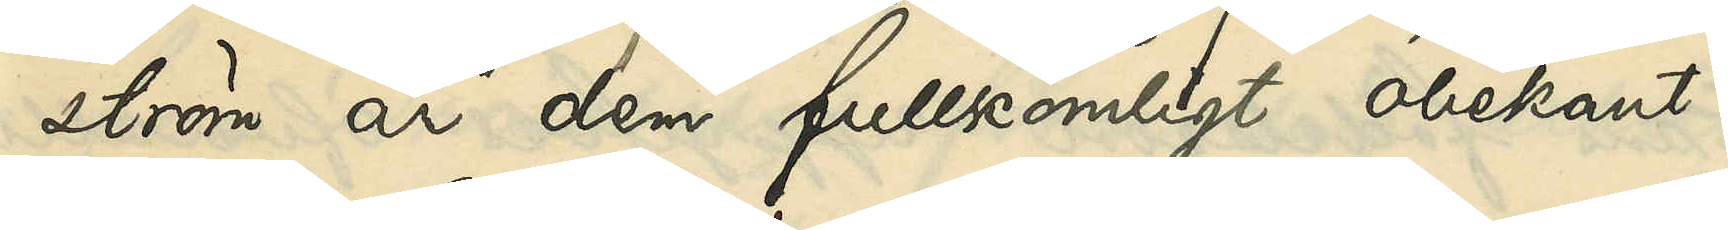ström är dem fullkomligt obekant.
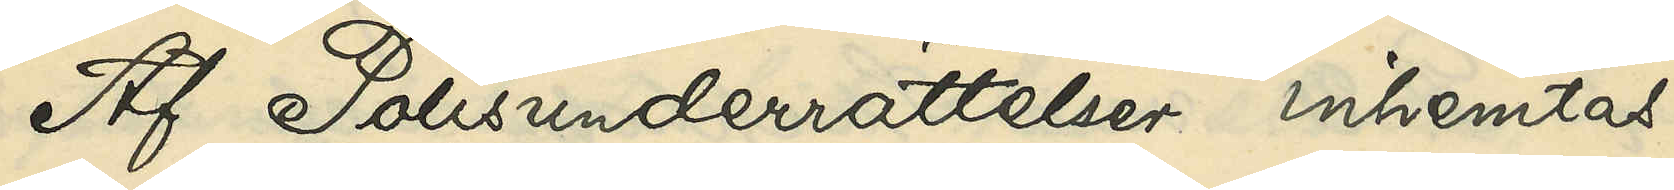Af Polisunderrättelser inhemtas
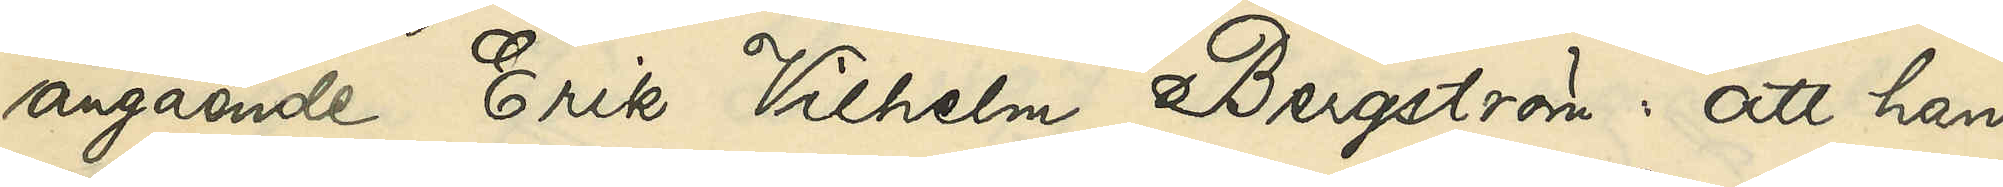angående Erik Vilhelm Bergström: att han
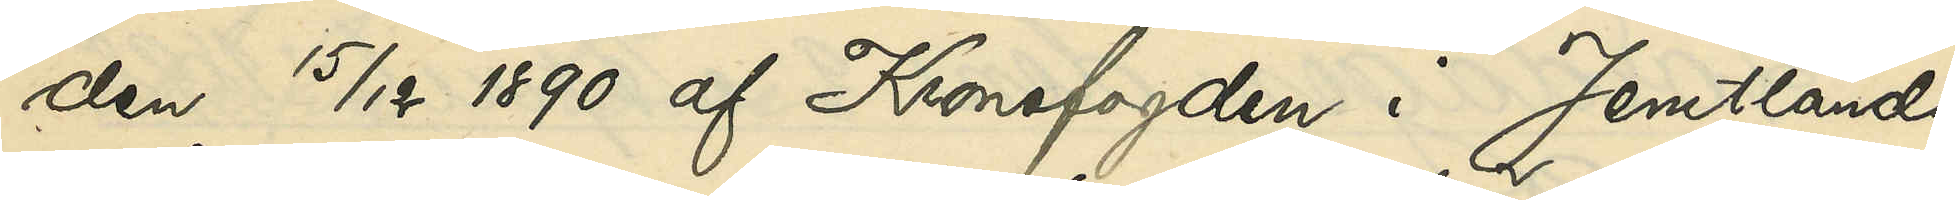den 15/12 1890 af Kronofogden i Jemtlands 
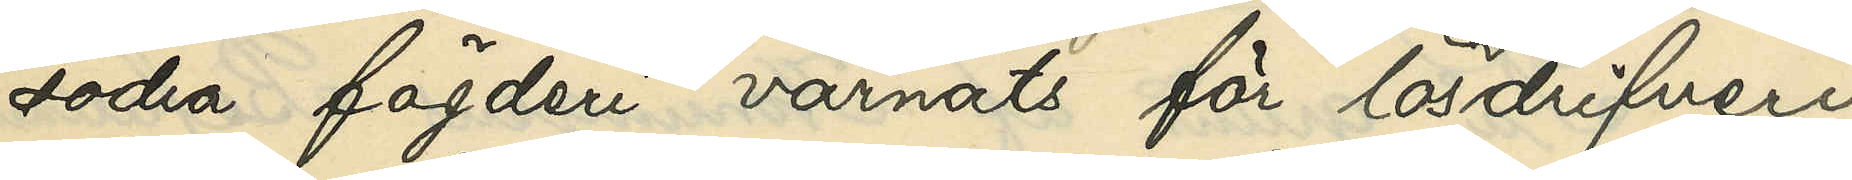södra fögderi varnats för lösdrifveri
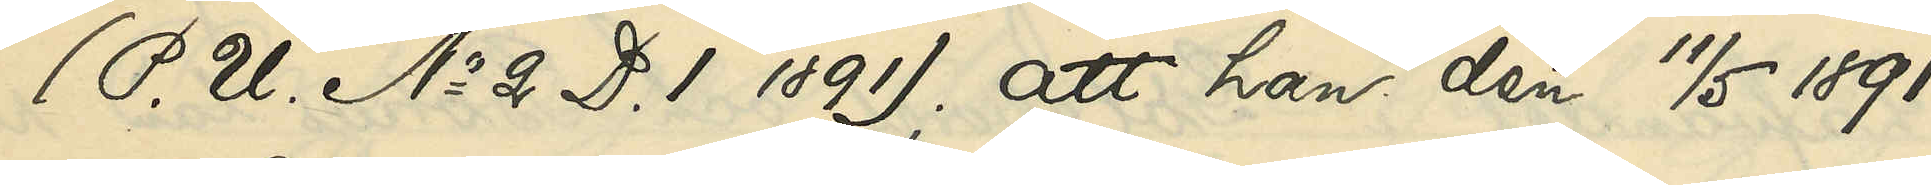(P. U. No 2 D. 1 1891); att han den 11/5 1891
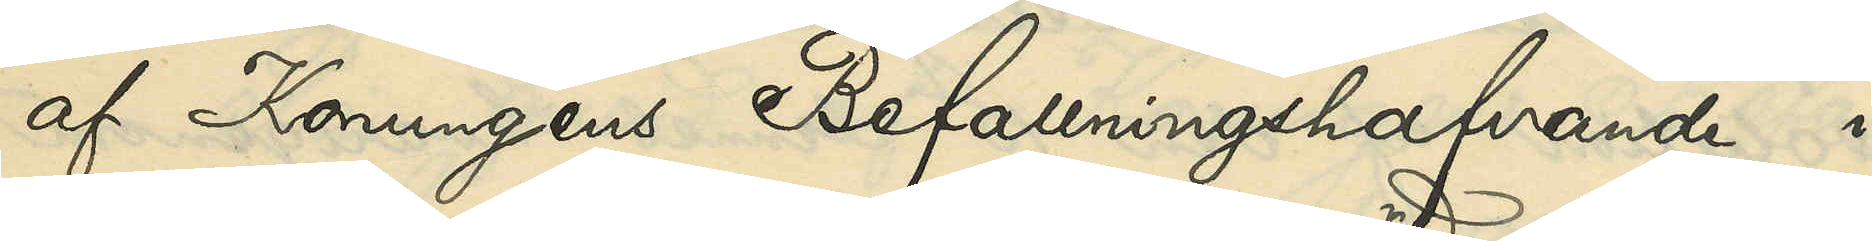af Konungens Befallningshafvande i
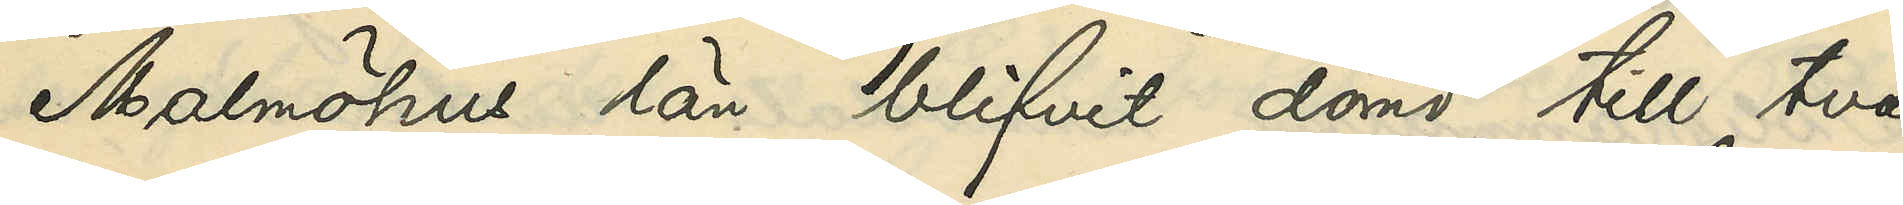Malmöhus län blifvit dömd till två
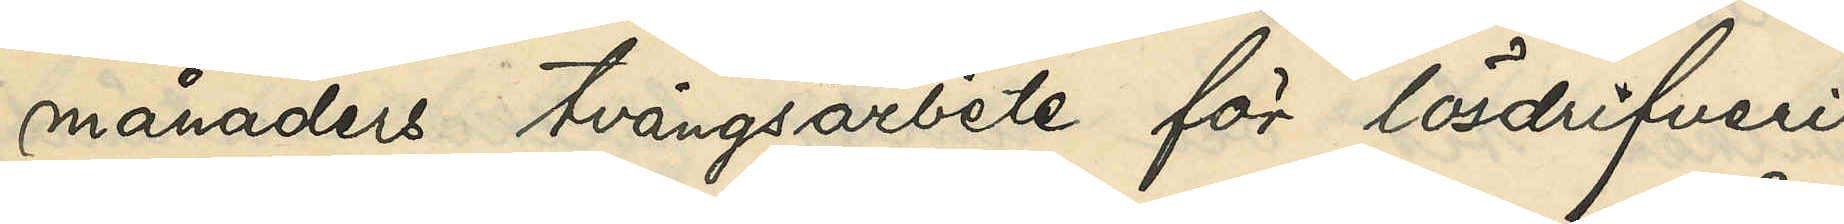månaders tvångsarbete för lösdrifveri
